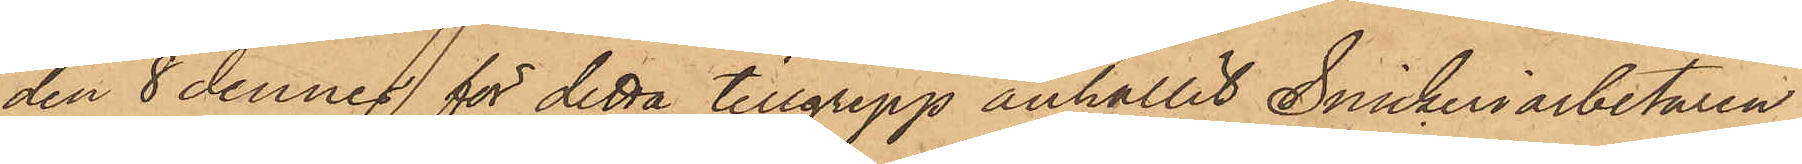den 8 dennes för detta tillgrepp anhållit Snickeriarbetaren
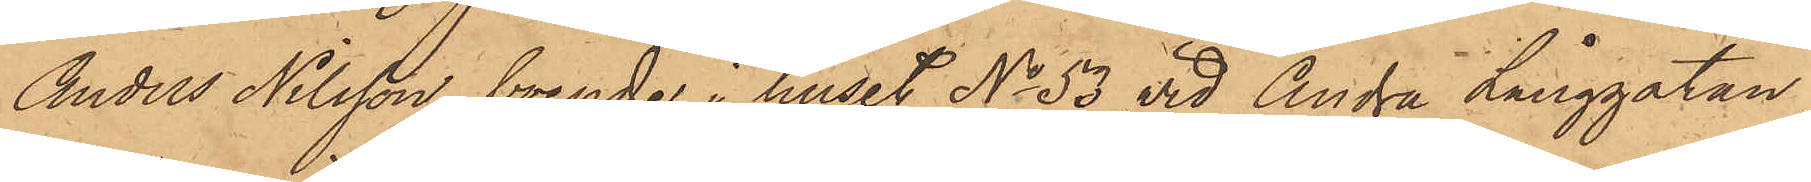Anders Nilsson, boende i huset No 53 vid Andra Långgatan,
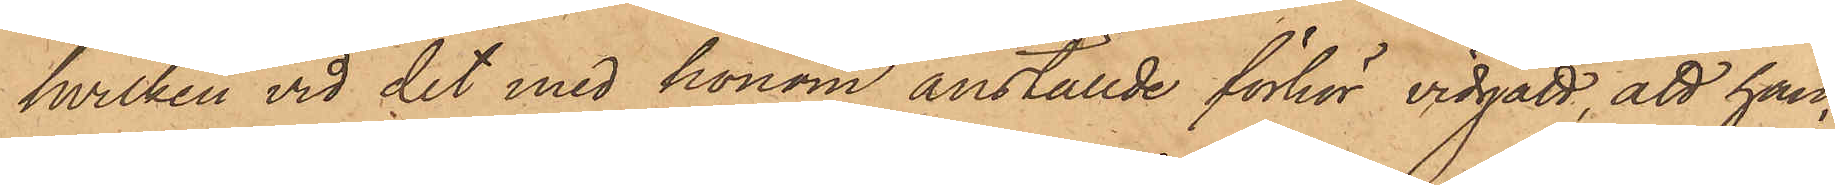hvilken vid det med honom anställde förhör vidgått, att han,
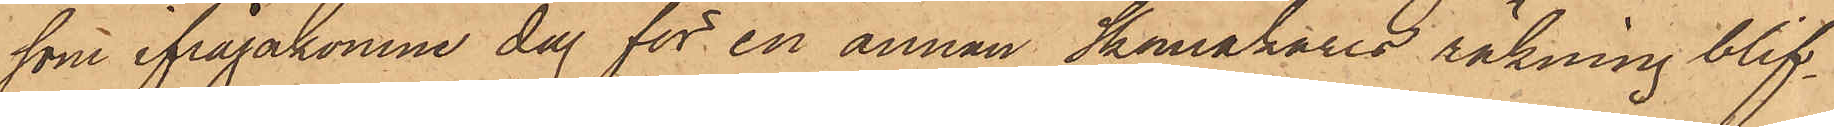som ifrågakomne dag för en annan Skomakares räkning blif¬
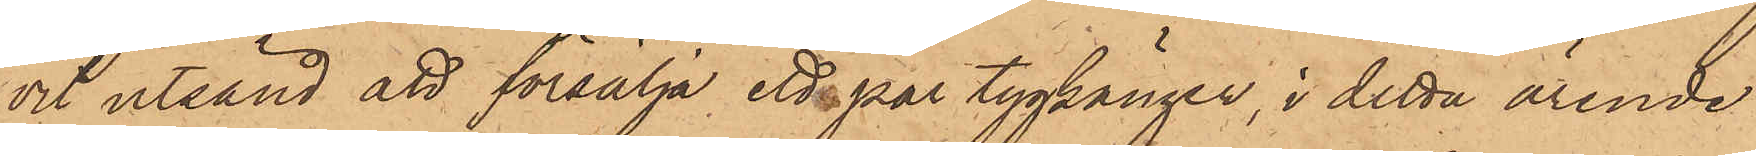vit utsänd att försälja, ett par tygkänger, i detta ärende
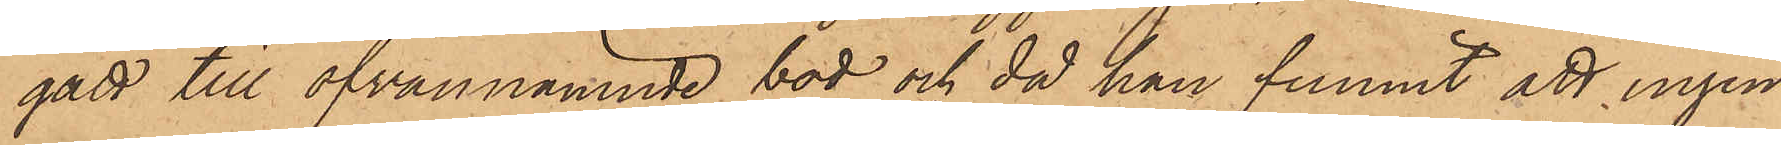gått till ofvannämnde bod och då han funnit att ingen
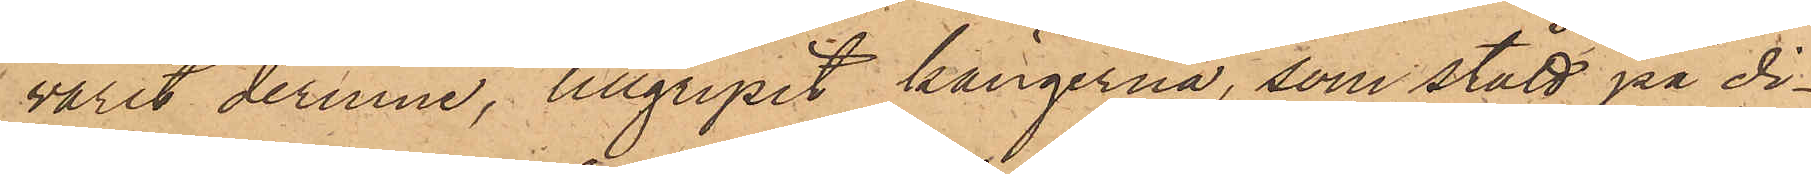varit derinne, tillgripit kängerna, som stått på di¬
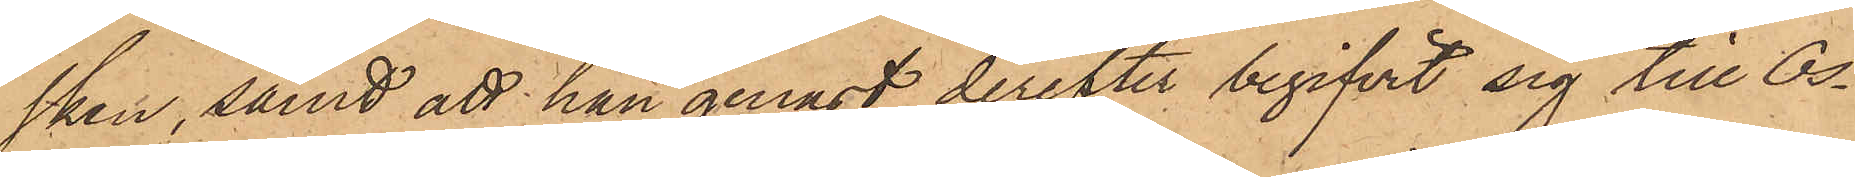sken, samt att han genast derefter begifvit sig till Os¬
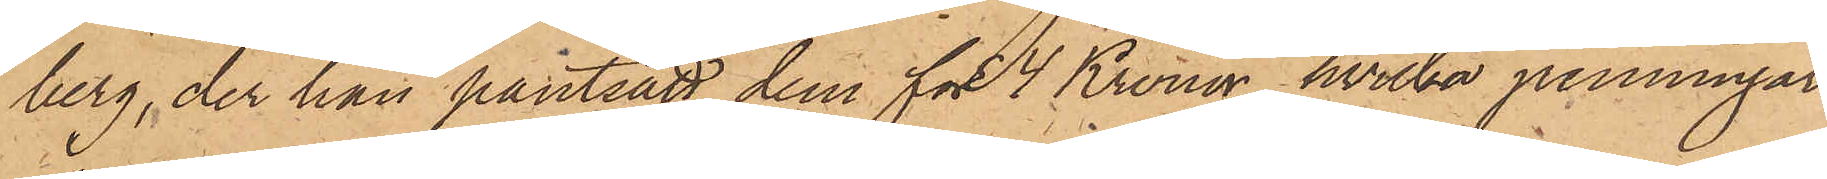berg, der han pantsatt dem för 4 Kronor, hvilka penningar
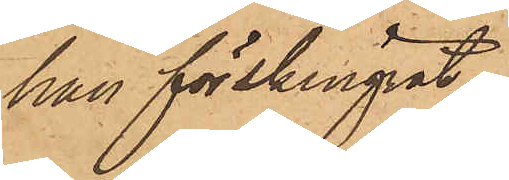han förskingat
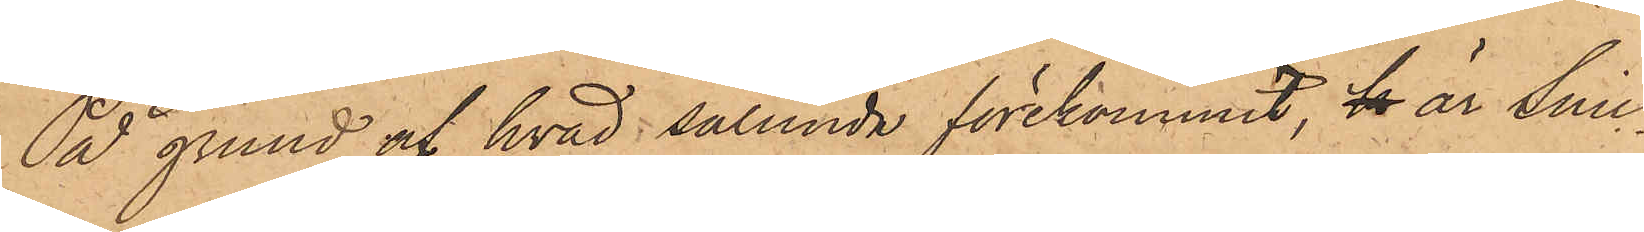På grund af hvad sålunda förekommit, k är Snic¬
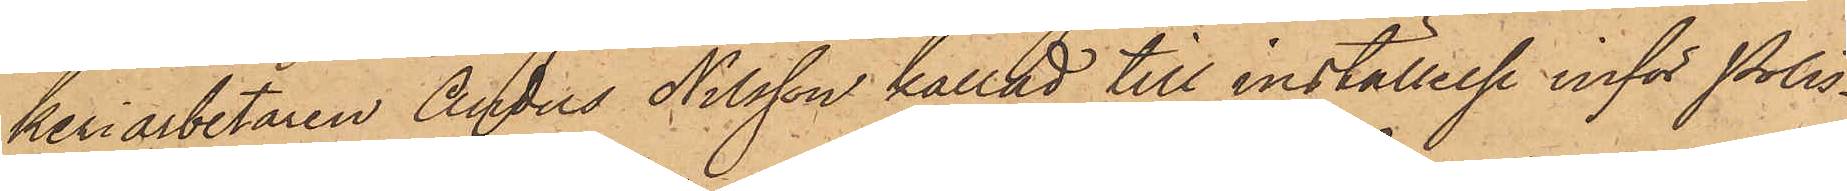keriarbetaren Anders Nilsson kallad till inställelse inför Polis¬
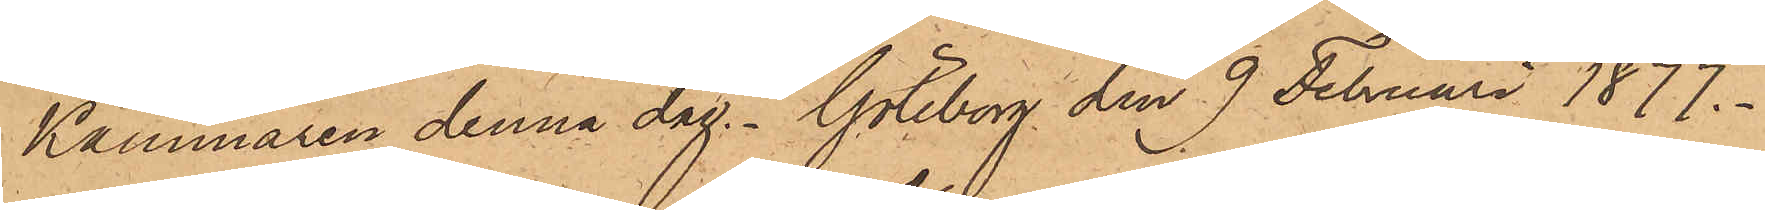Kammaren denna dag. Göteborg den 9 Februari 1877.
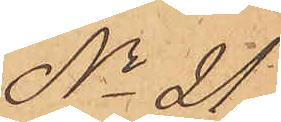No 21
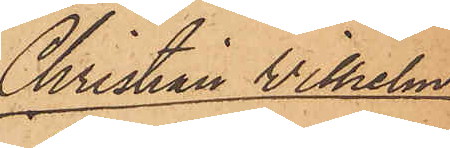Christian Wilhelm
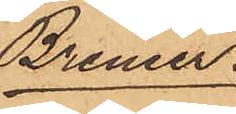Bremer
